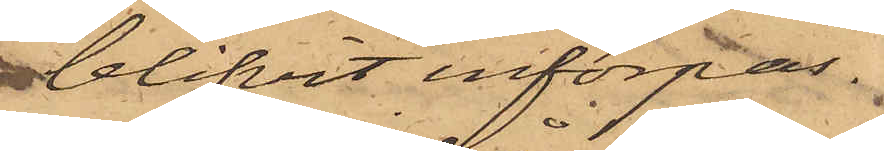blifvit införpas¬
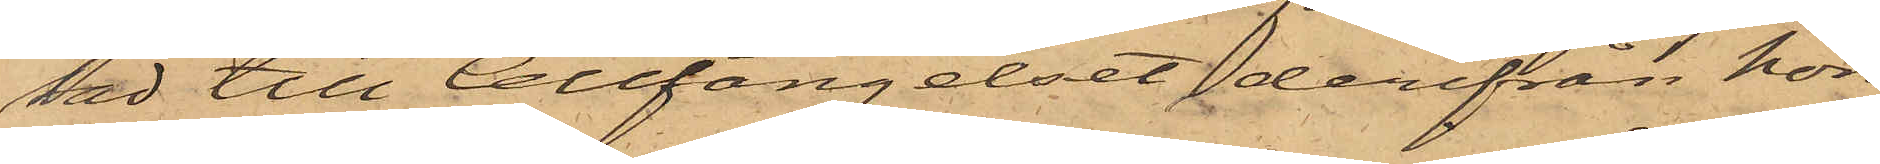sad till Cellfängelset, derifrån hon
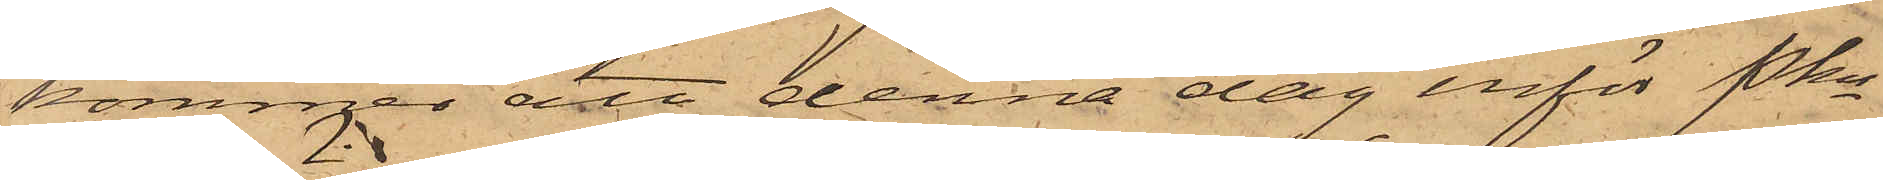kommer att denna dag inför Pkn
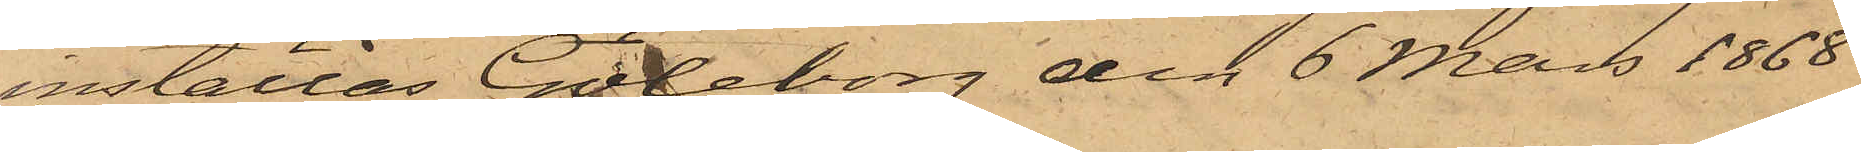inställas. Göteborg den 6 Mars 1868
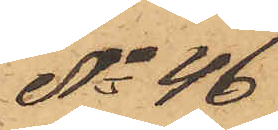No 46
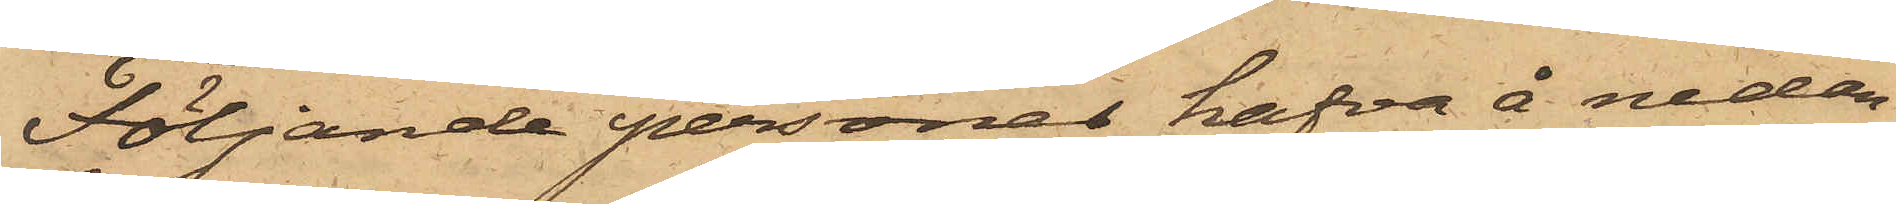Följande personer hafva å nedan¬
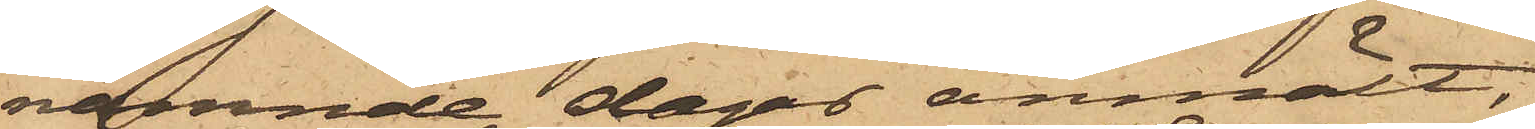nämnde dagar anmält:
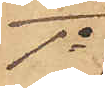1o
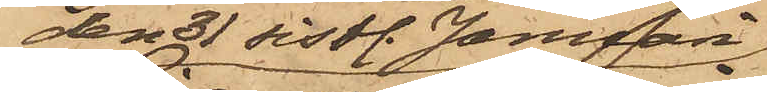den 31 sistl. Januari
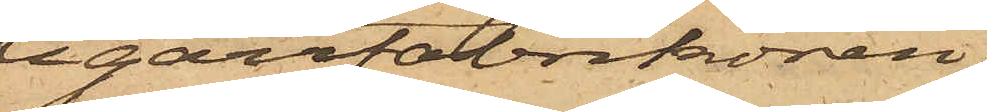Cigarrfabrikören,
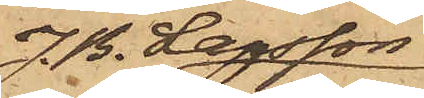J. B. Larsson
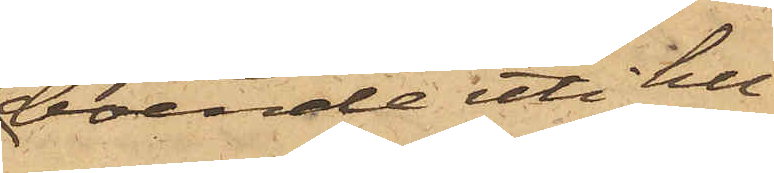boende uti hu¬
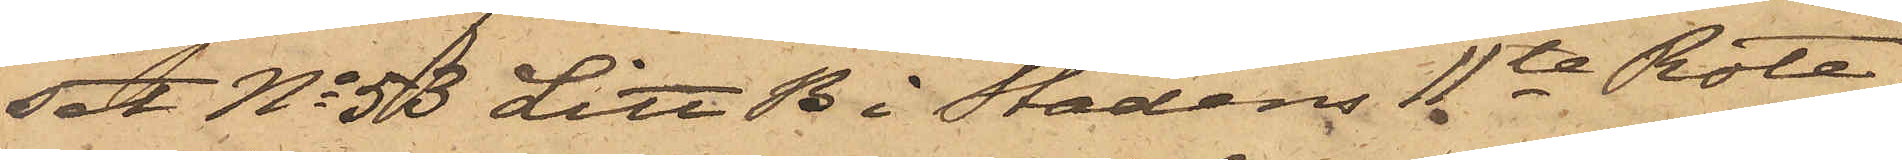set No 53 Litt B i Stadens 11te Rote,
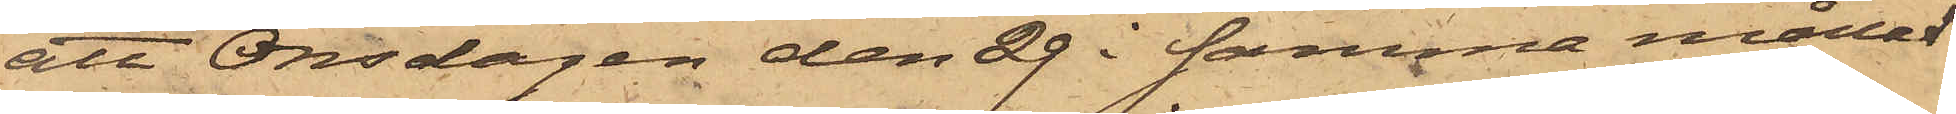att Onsdagen den 29 i samma månad
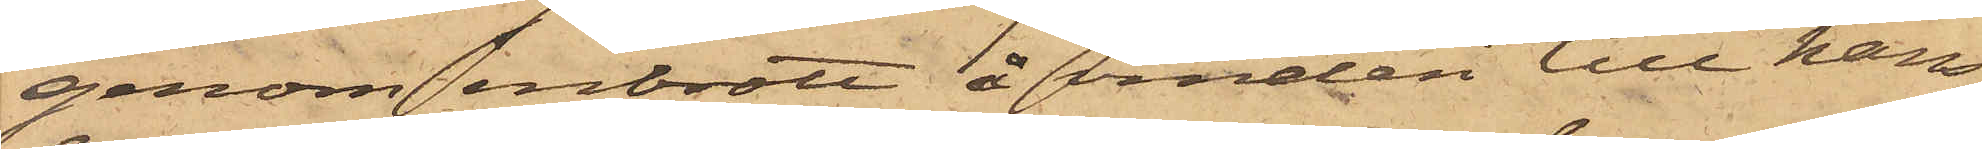genom inbrott å vinden till hans
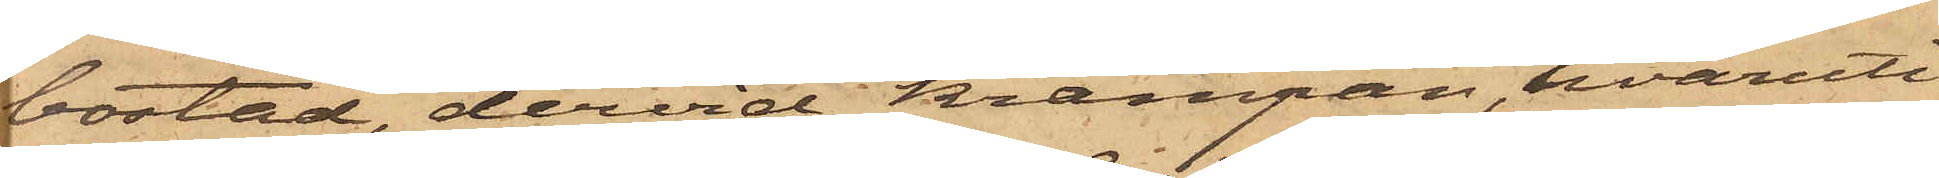bostad, dervid krampan, hvaruti
